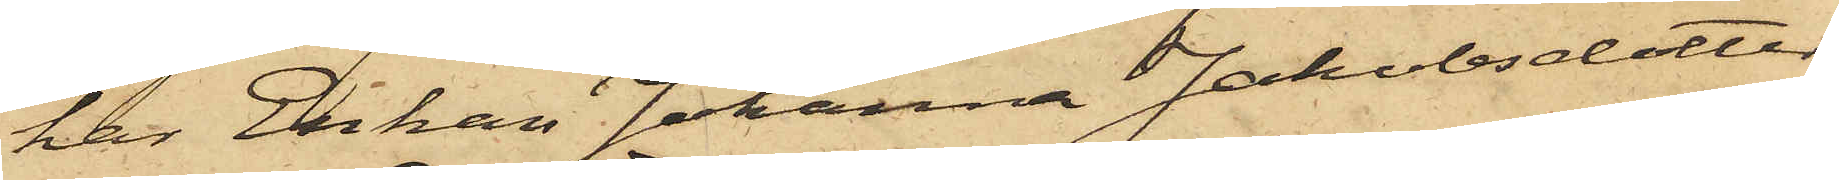har Enkan Johanna Jakobsdotter
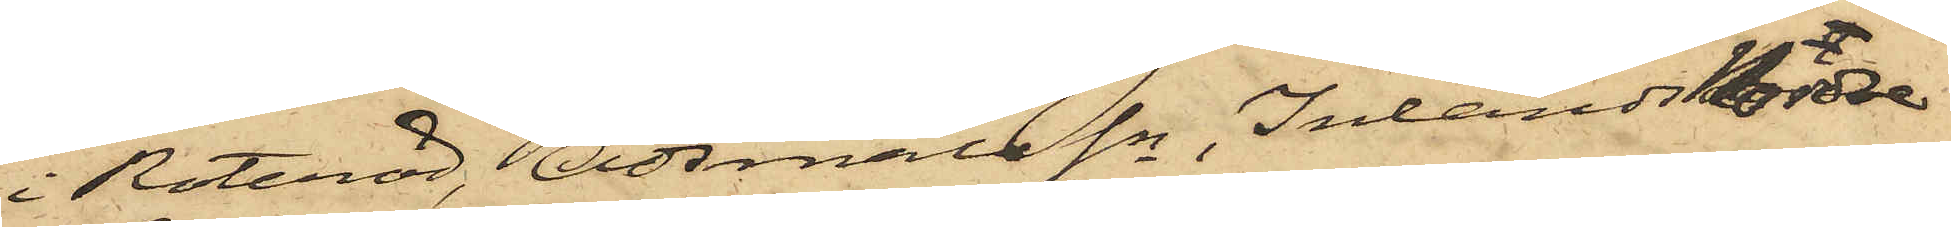i Roteröd, Ödsmåls Sn, Inlands Nordre
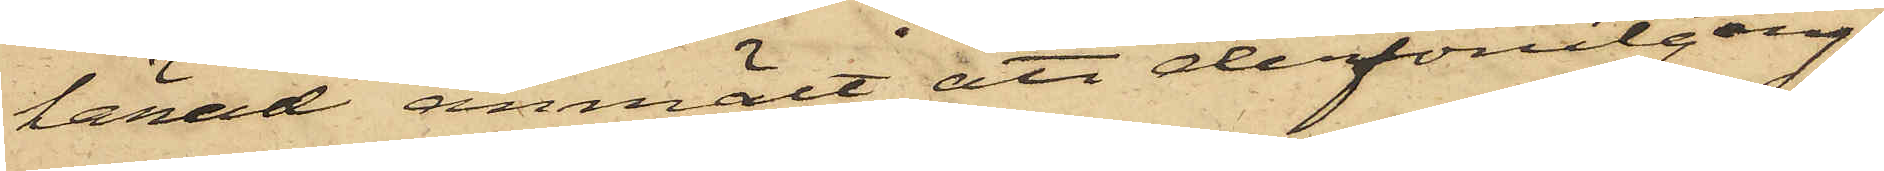härad anmält att derförutgång¬
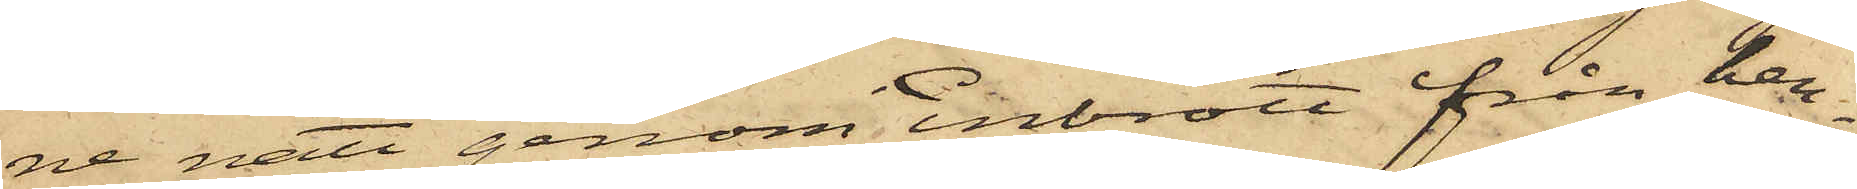ne natt genom inbrott från hen¬
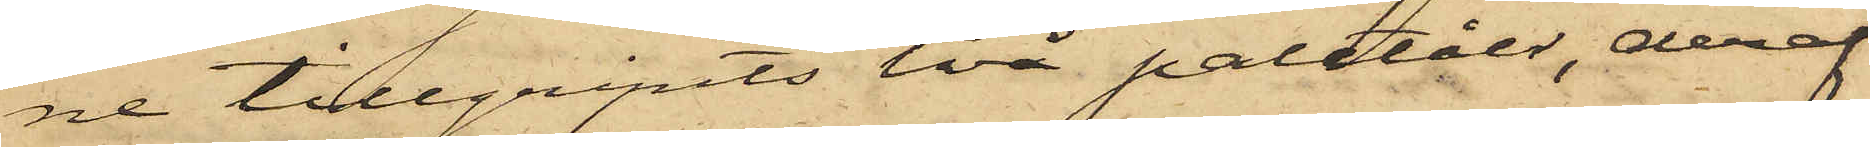ne tillgripits två paletåer, deraf
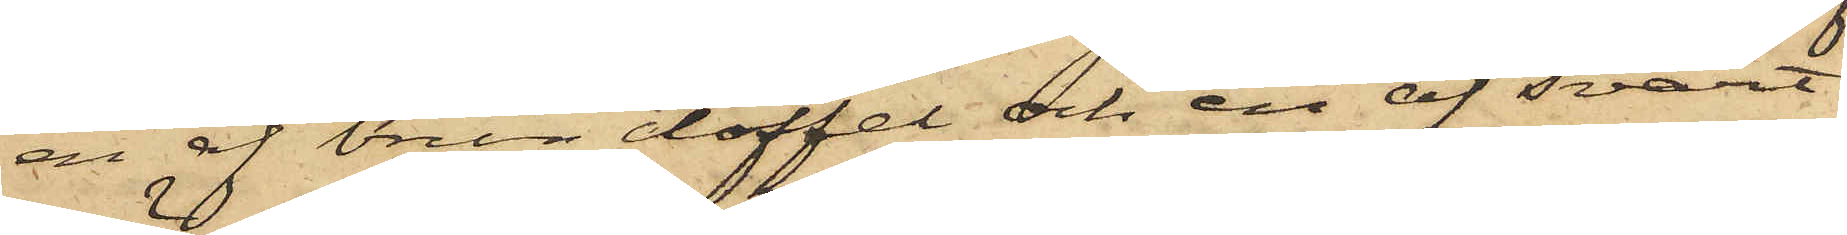en af brun doffel och en af svart
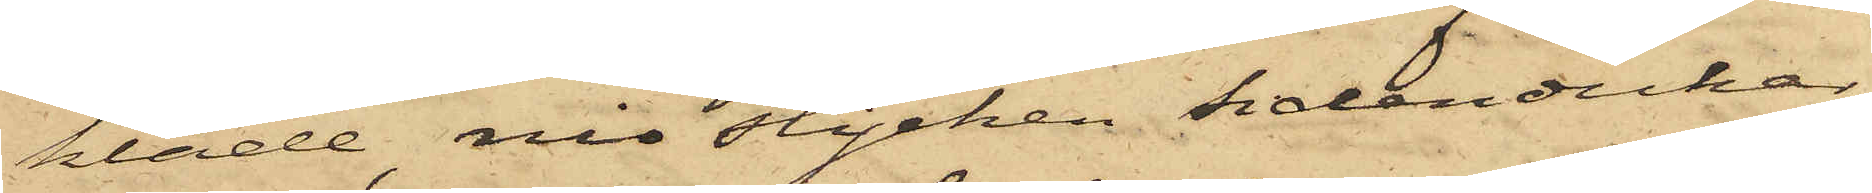kläde, nio stycken sidendukar,
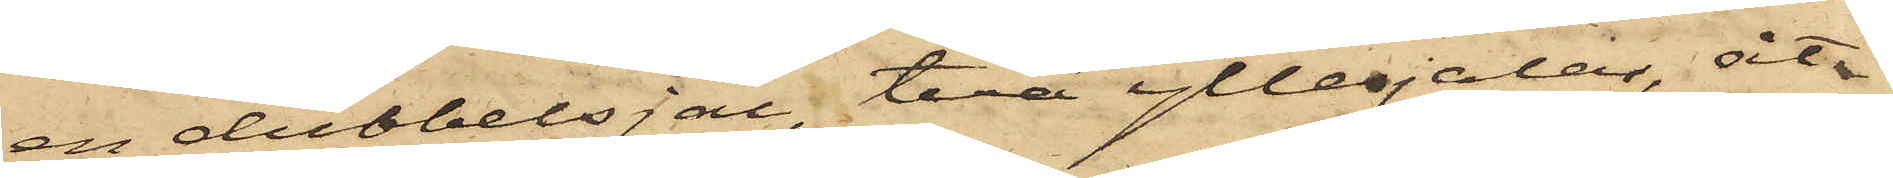en dubbelsjal, två yllesjalar, åt¬
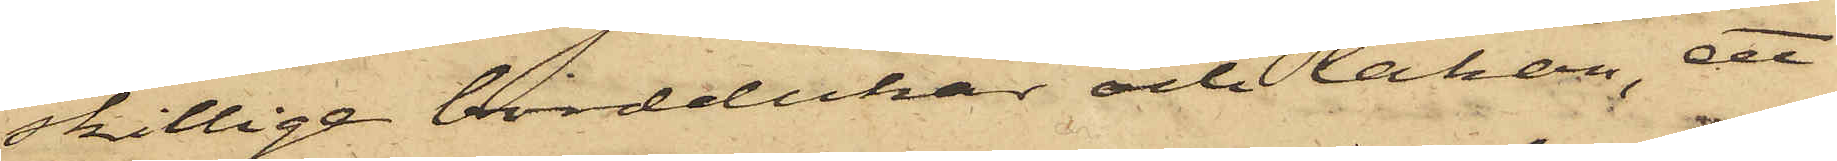skillige borddukar och lakan, ett
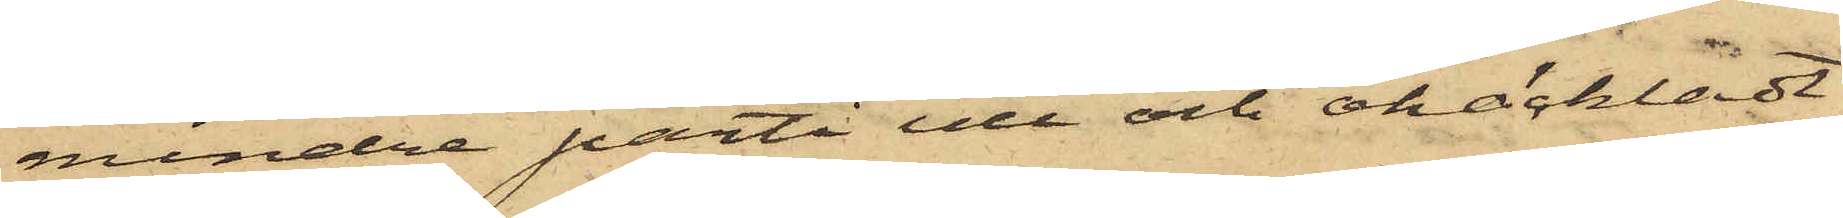mindre parti ull och ohäckladt
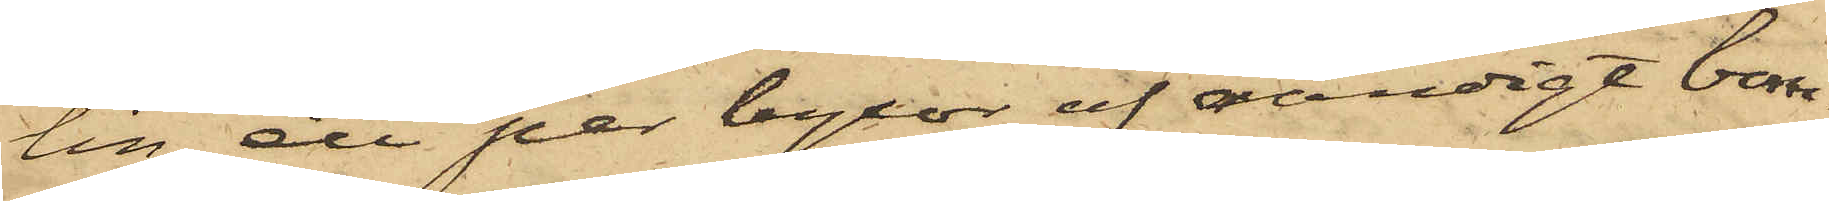lin, ett par byxor af randigt bom¬
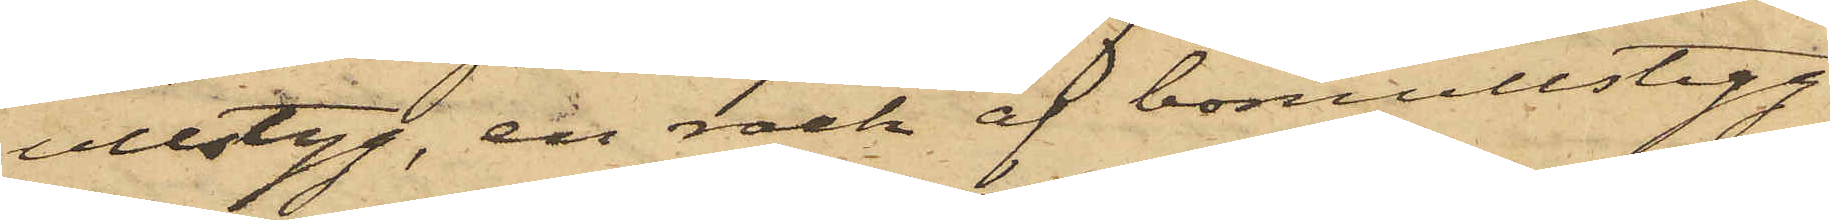ullstyg, en rock af bomullstyg
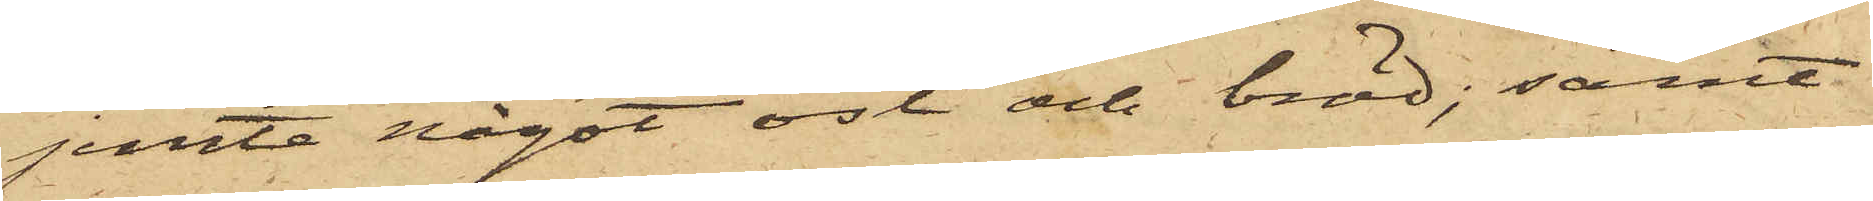jemte något ost och bröd; samt
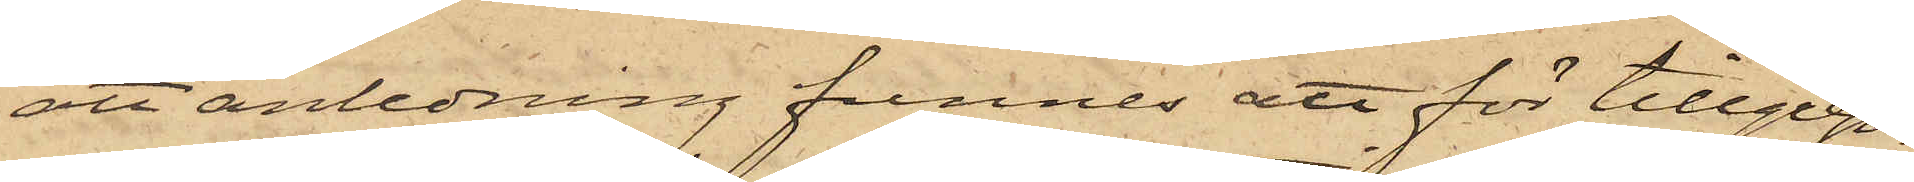att anledning funnes att för tillgrep¬
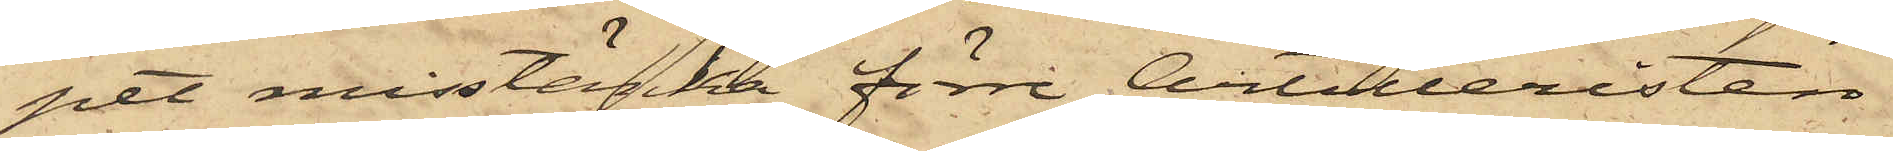pet misstänka förre Artilleristen
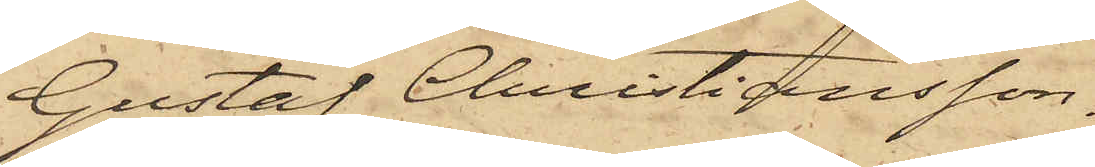Gustaf Christiansson.
